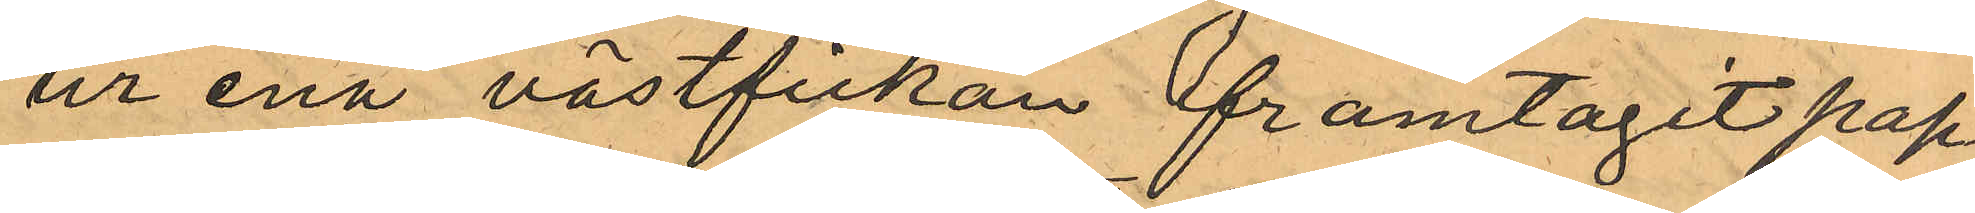ur ena västfickan framtagit pap¬
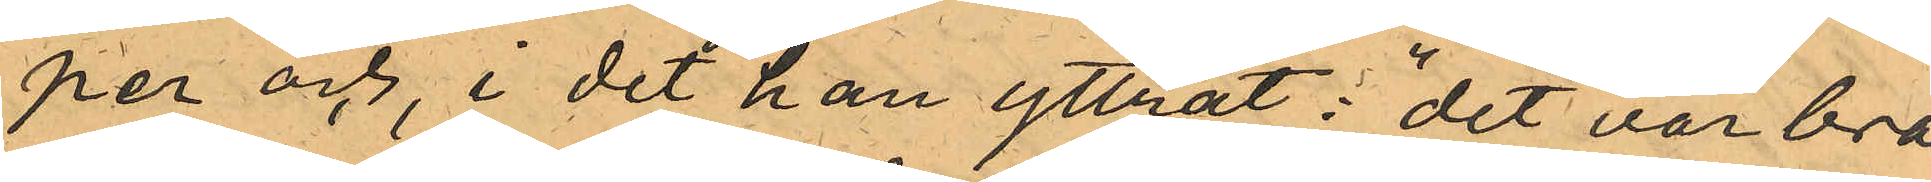per och, i det han yttrat: "det var bra
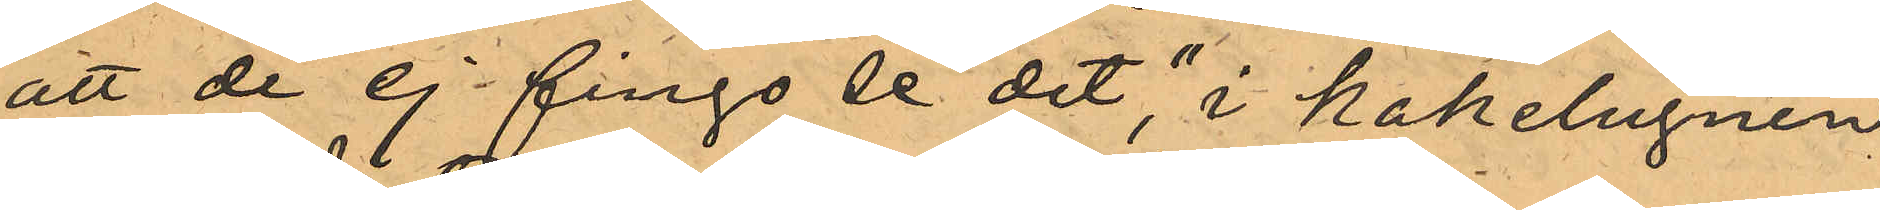att de ej fingo se det", i kakelugnen
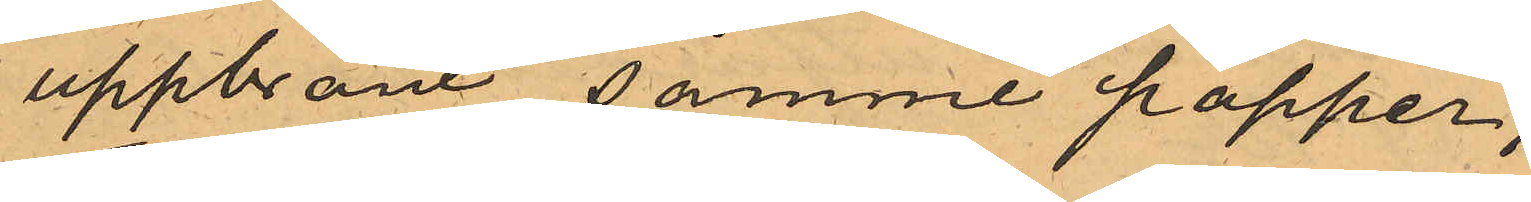uppbränt samme papper;
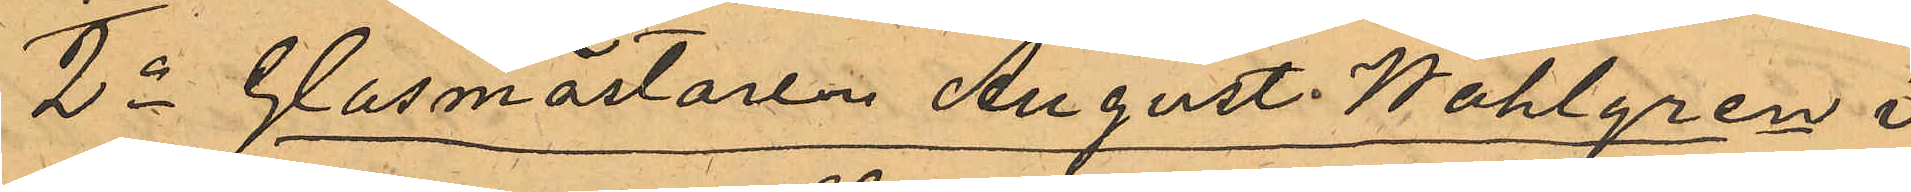2o Glasmästaren August Wahlgren i
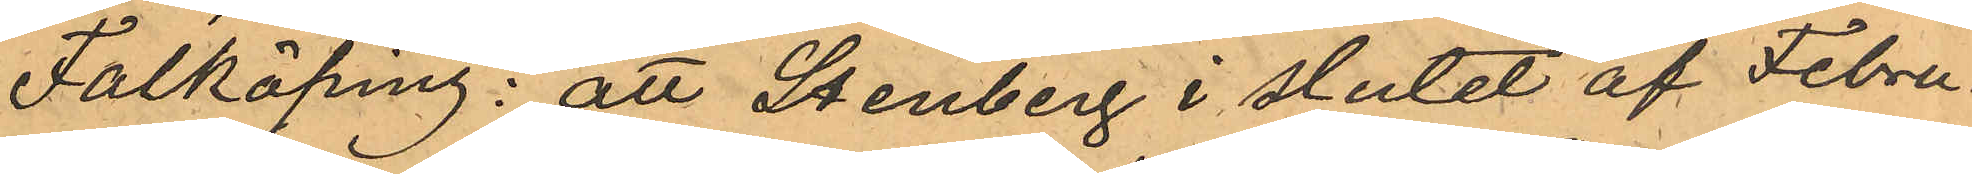Falköping: att Stenberg i slutet af Febru¬
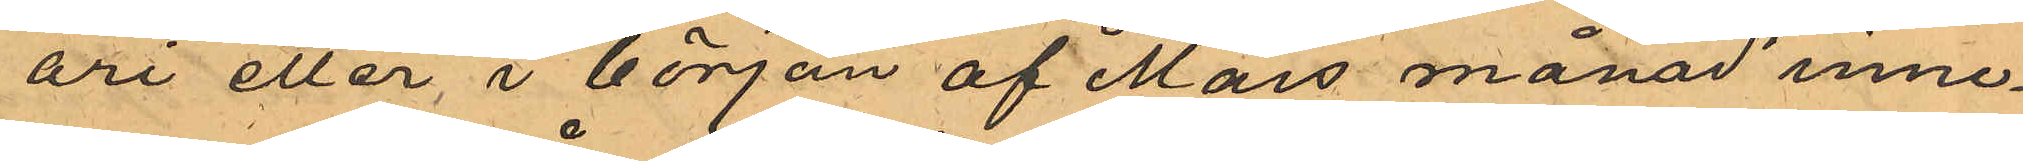ari eller i början af Mars månad inne¬
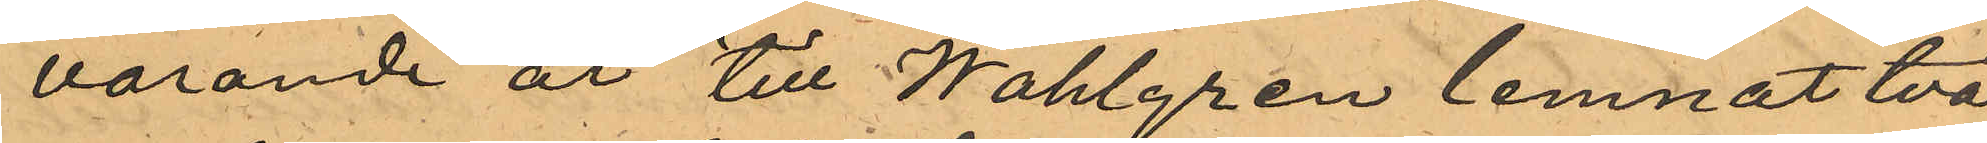varande år till Wahlgren lemnat två
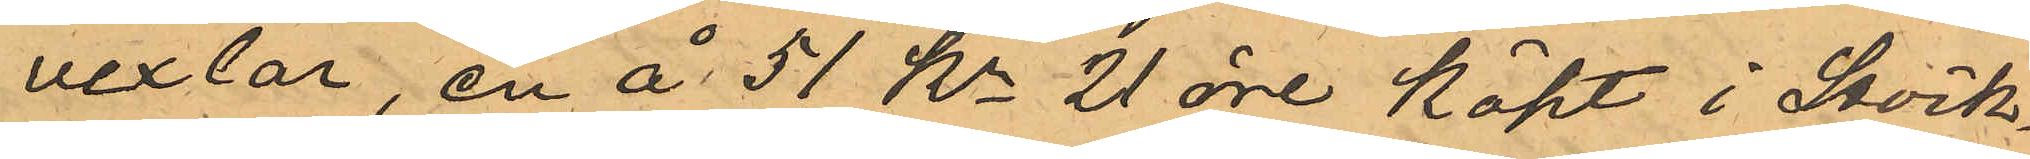vexlar, en å 51 Kr 21 öre köpt i Sock¬
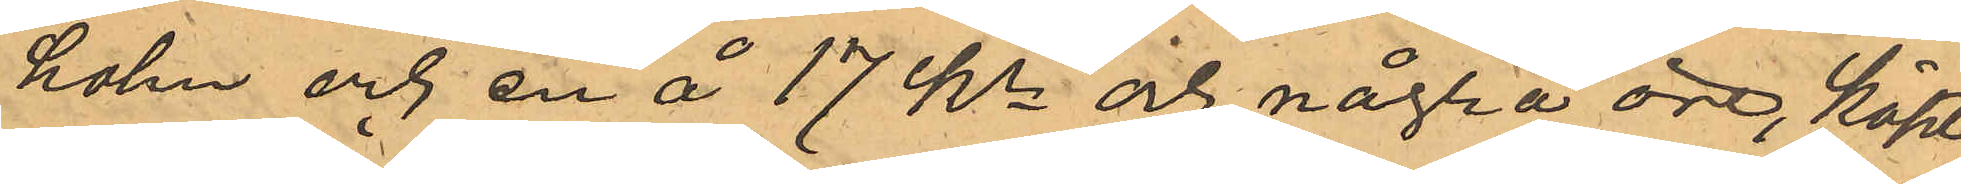holm och en å 17 kr och några öre köpt
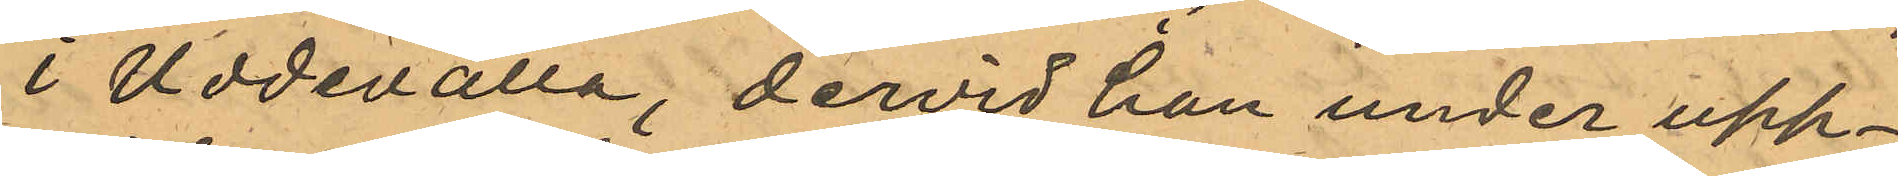i Uddevalla, dervid han under upp¬
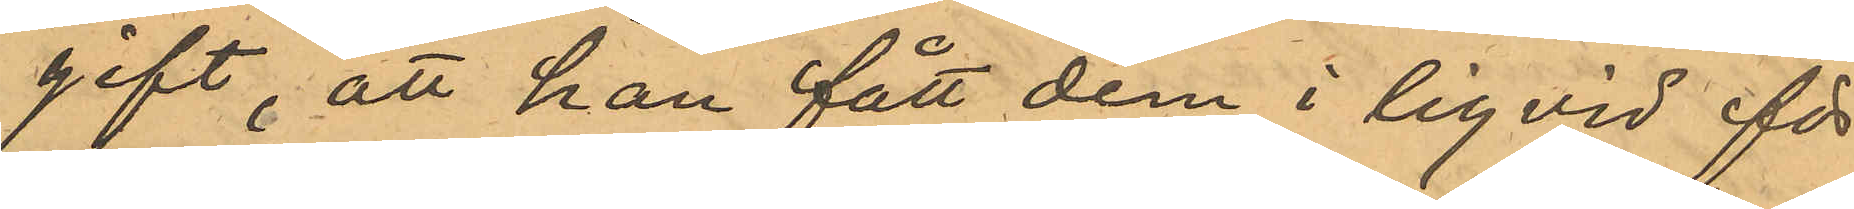gift, att han fått dem i liqvid för
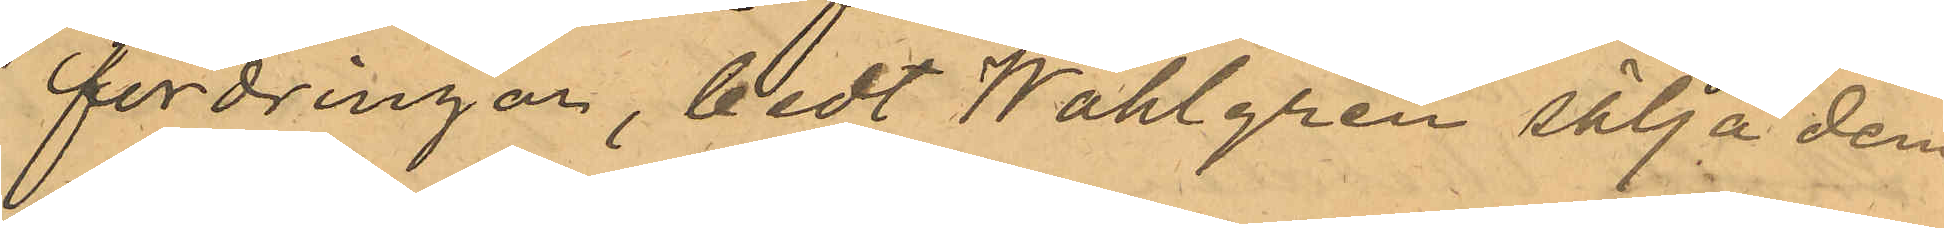fordringar, bedt Wahlgren sälja dem
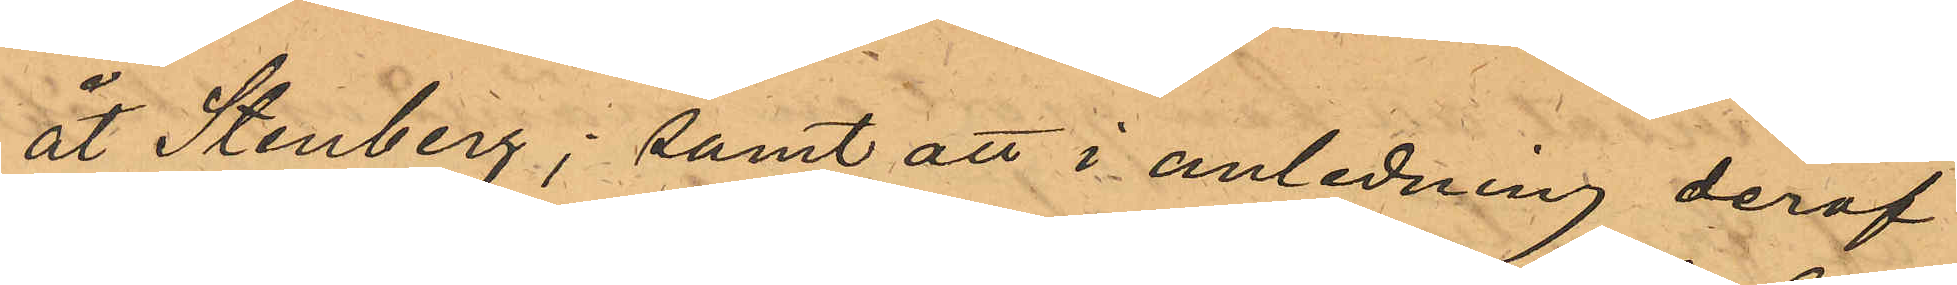åt Stenberg; samt att i anledning deraf
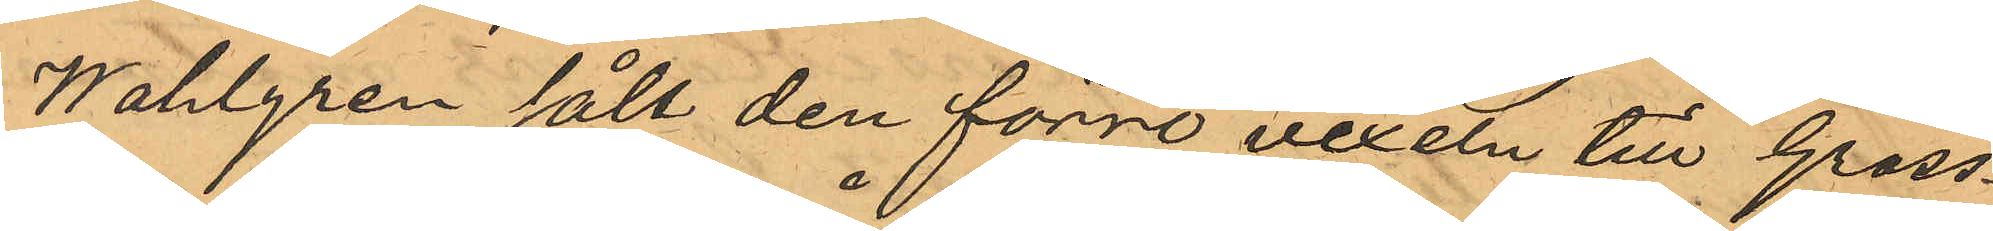Wahlgren sålt den förre vexeln till Gross¬
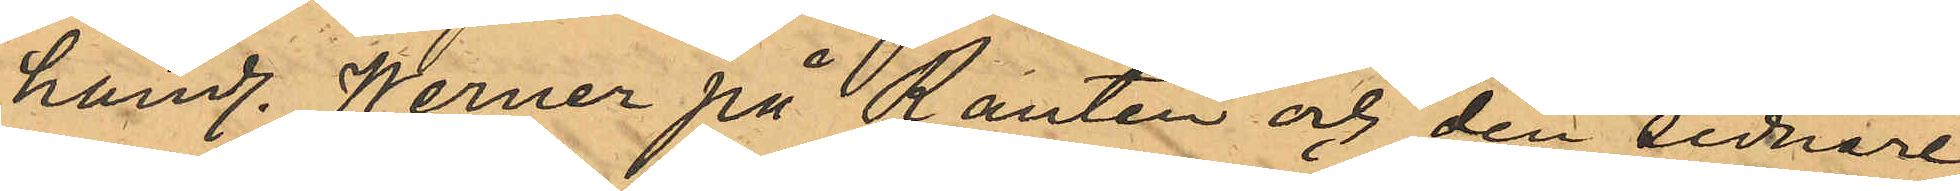handl. Werner på Ranten och den sednare,
